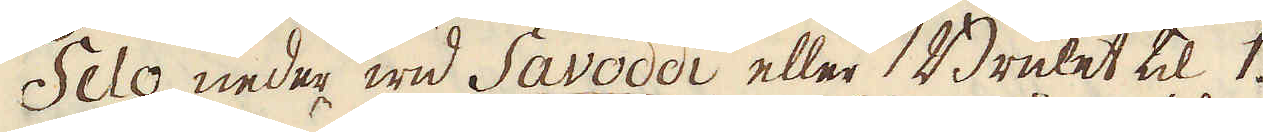Selo neder wid Savoddi eller Bruket til 1.
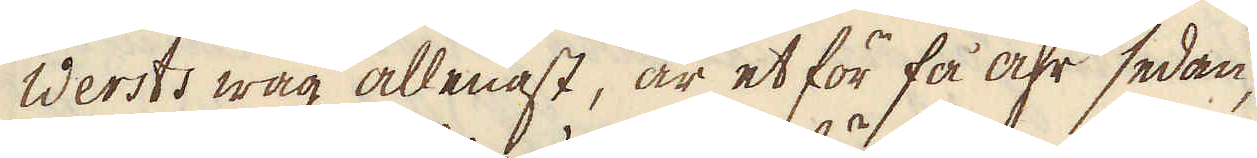Wersts wäg allenast, är et för få åhr sedan,
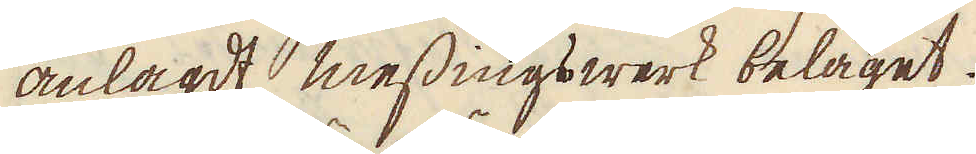anlagdt messingswerk beläget.
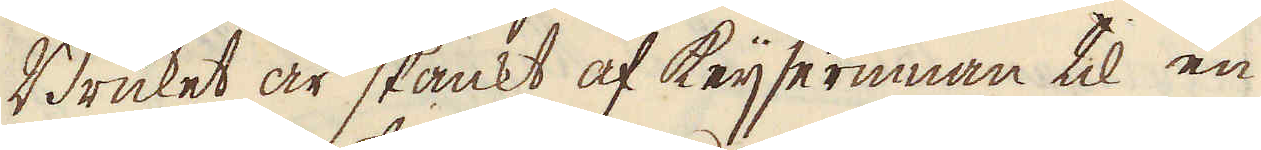Bruket är skänkt af Keijserinnan til en
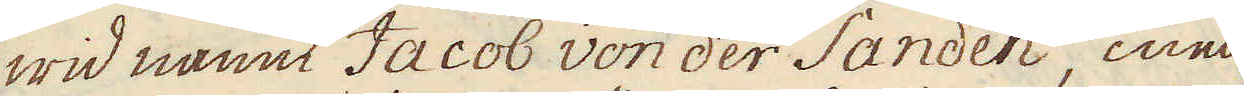wid namn Jacob von der Sanden, med
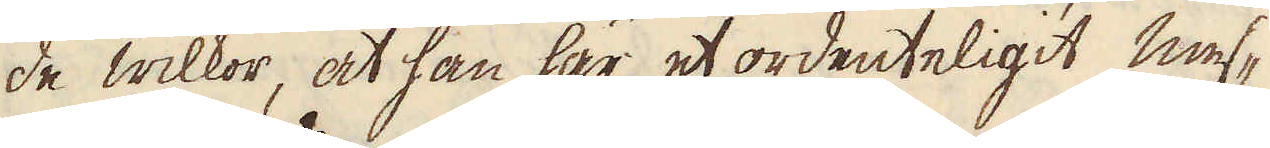de wilkor, at han här et ordenteligit mes-
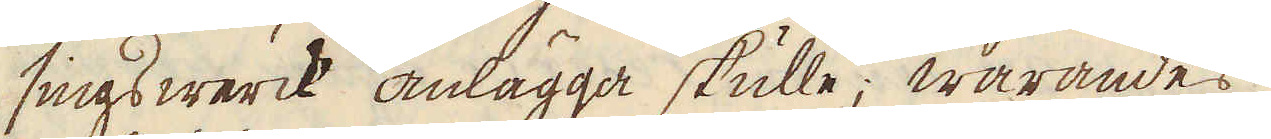sings werck anlägga skulle; warandes
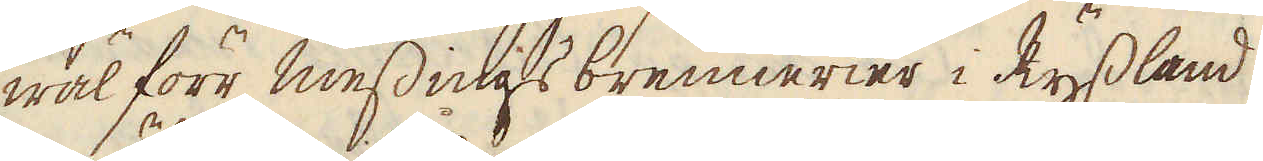wäl förr messings brennerier i Ryssland
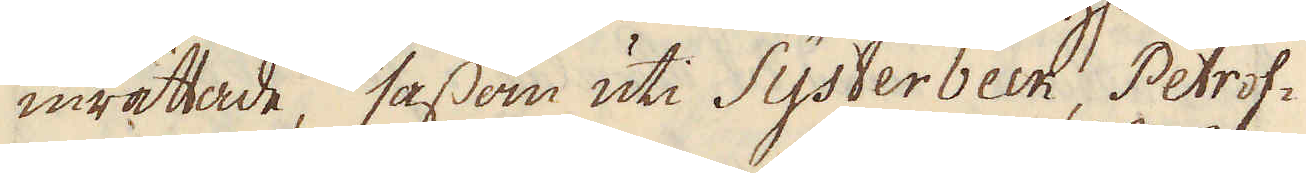inrättade, såsom uti Systerbeck, Petrof-
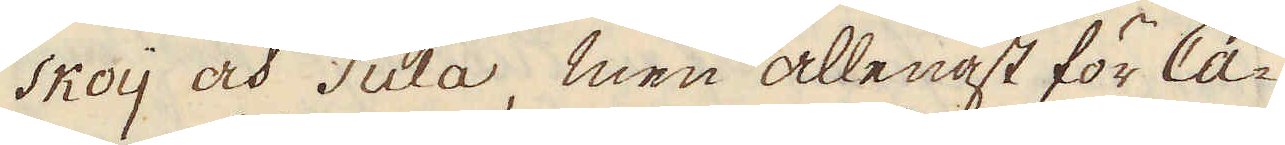skoij och Tula, men allenast för Ca-
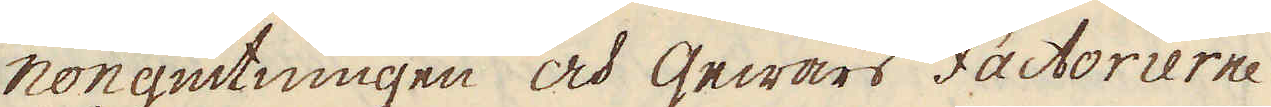nongutningen och Gewärs Factorierne
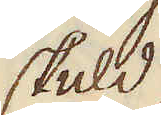skuld.
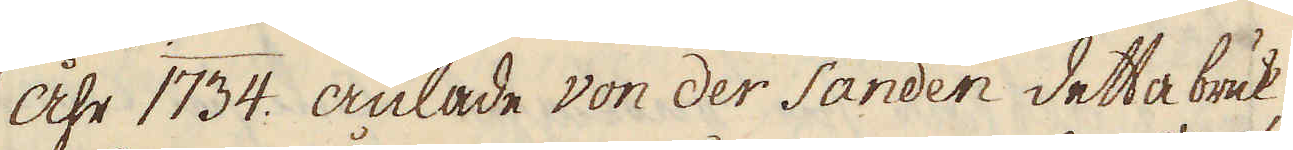Åhr 1734. anlade von der Sanden detta bruk,
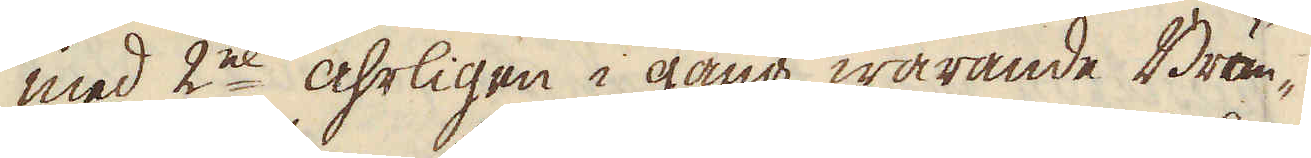med 2ne åhrligen i gång warande Brän-
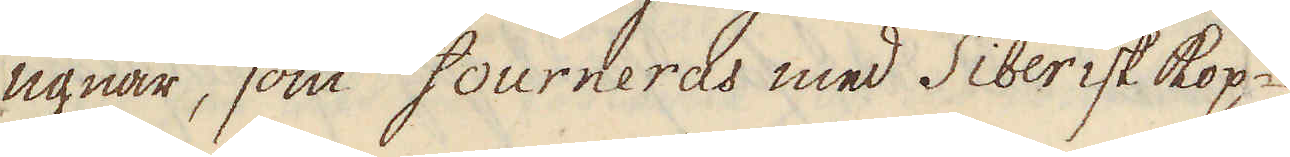ugnar, som fourneras med Siberisk kop-
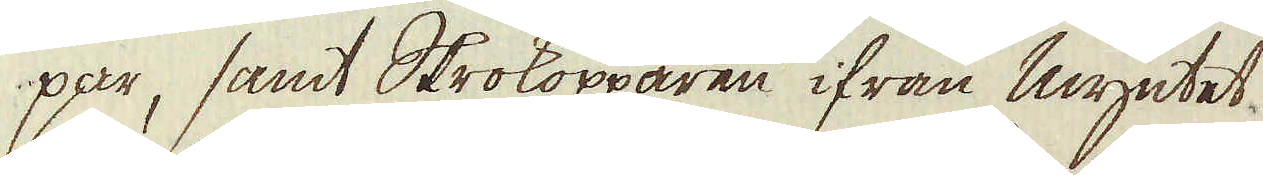par, samt Skrokopparen ifrån Myntet
